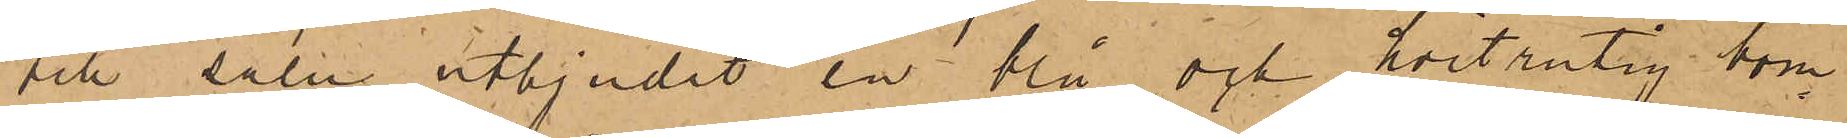till salu utbjudit en blå och hvitrutig bom¬
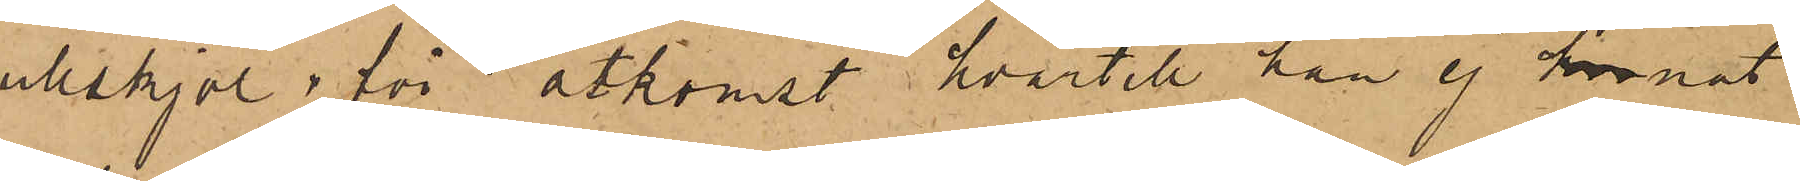ullskjol i för åtkomst hvartill han ej kunnat
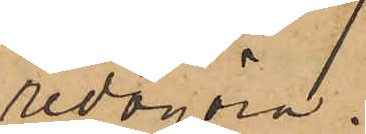redogöra.
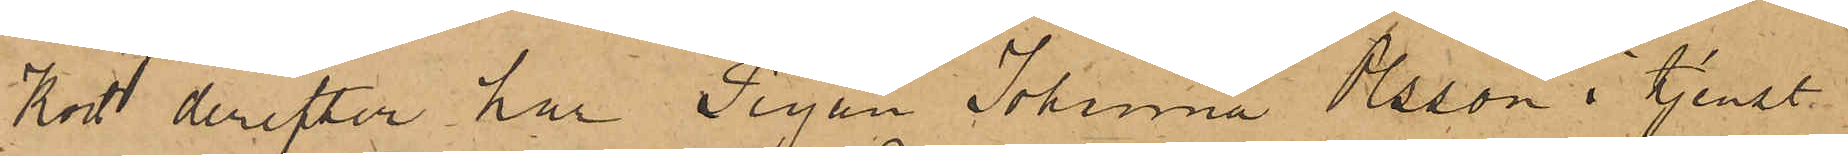Kort derefter har Pigan Johanna Olsson i tjenst
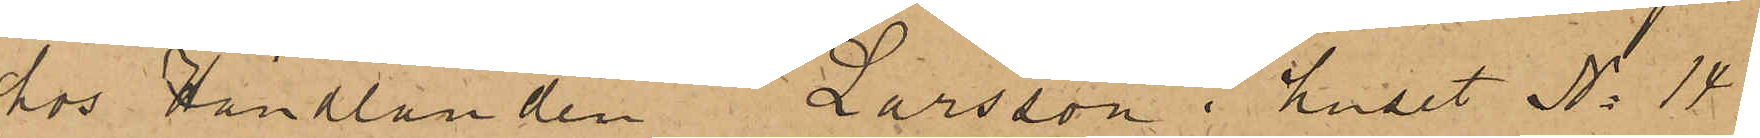hos Handlanden Larsson i huset No 14
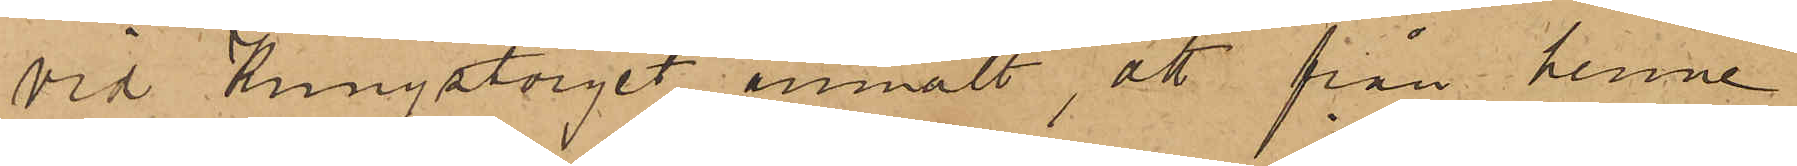vid Kungstorget anmält, att från henne
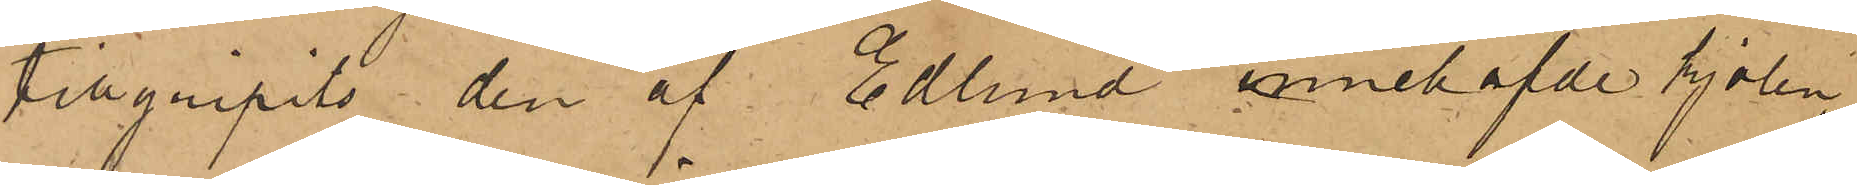tillgripits den af Edlund innehafde kjolen,
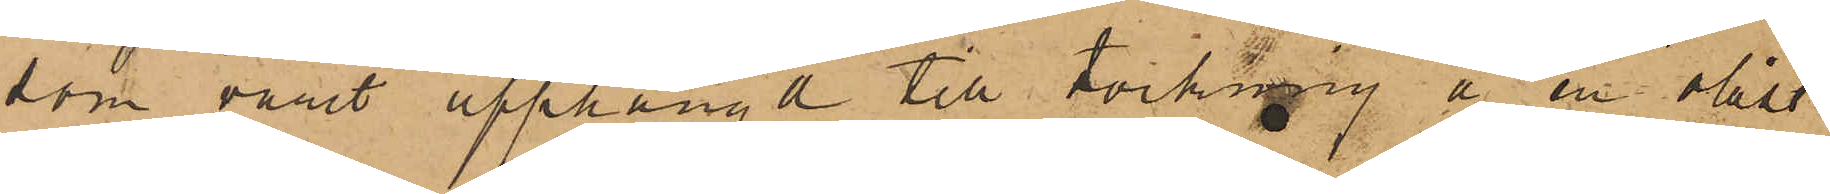som varit upphängd till torkning å en olåst
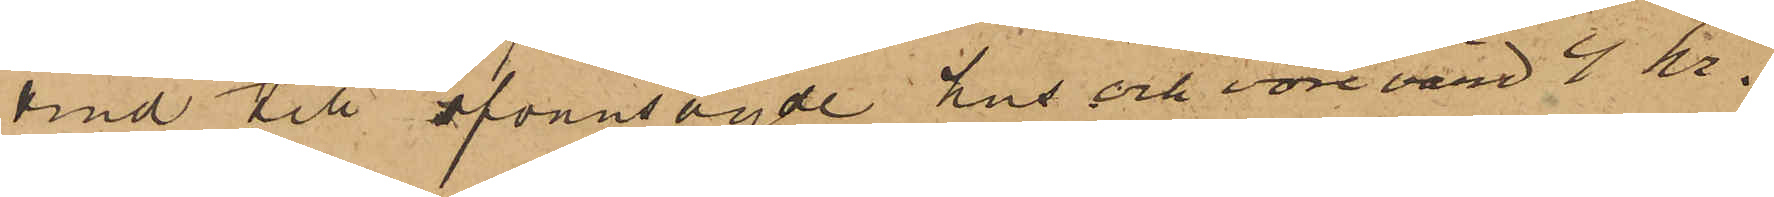vind till ofvansagde hus och vore värd 4 kr.
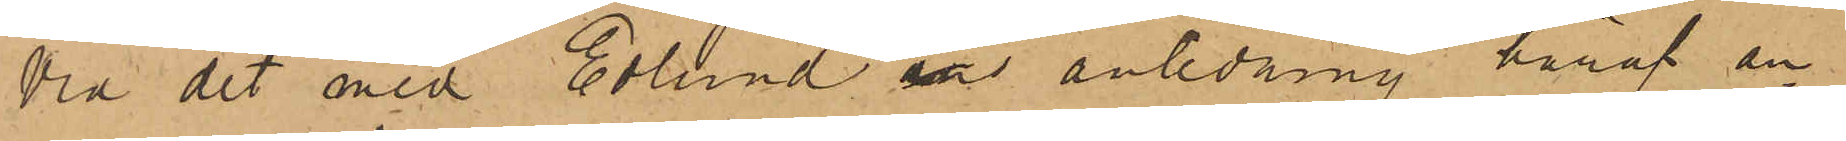Vid det med Edlund i anledning häraf an¬
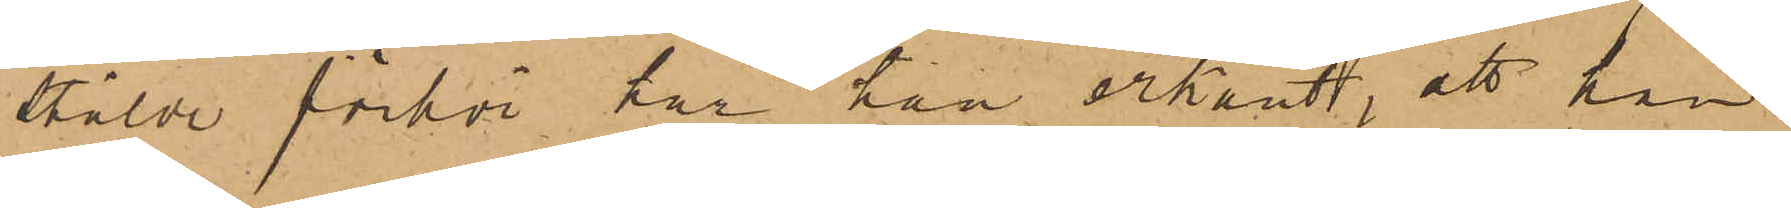stälde förhör har han erkänt, att han
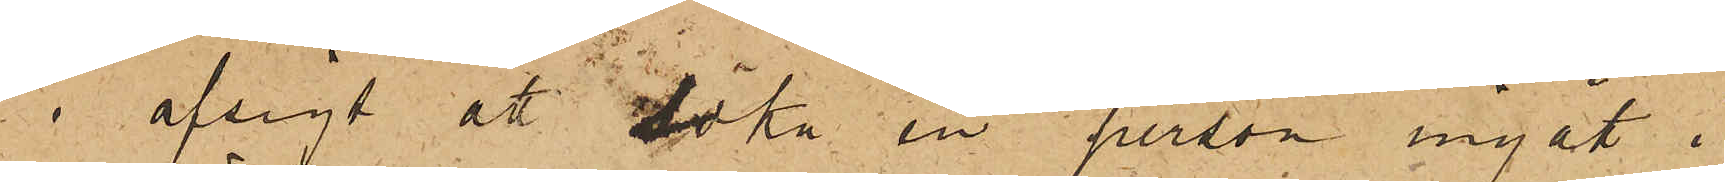i afsigt att söka en person ingått i
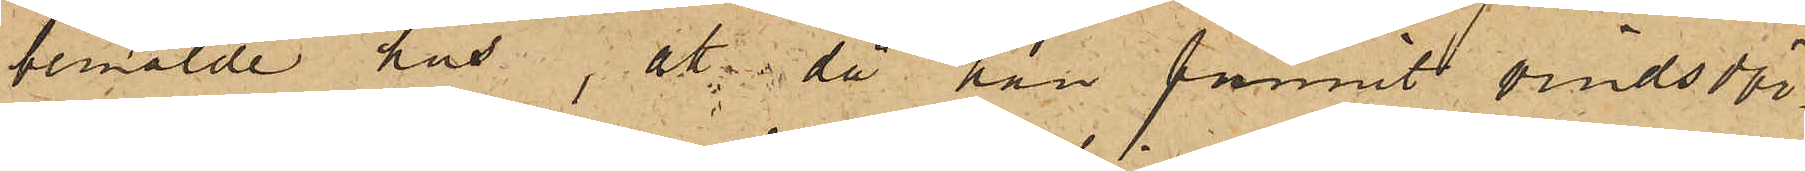bemälde hus, att då han funnit vindsdör¬
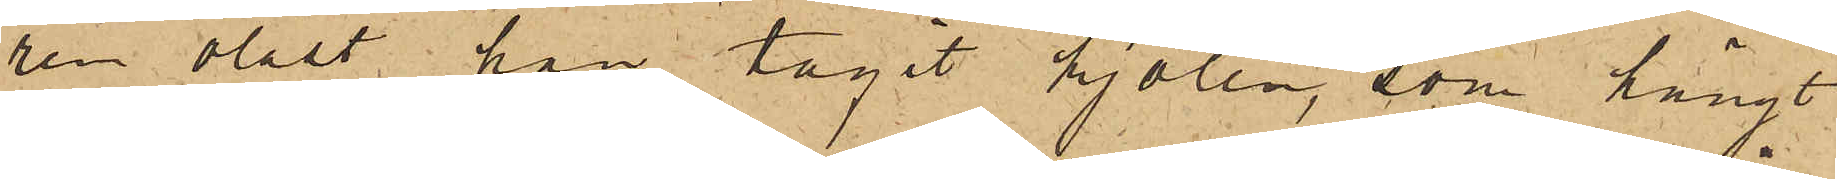ren olåst han tagit kjolen, som hängt
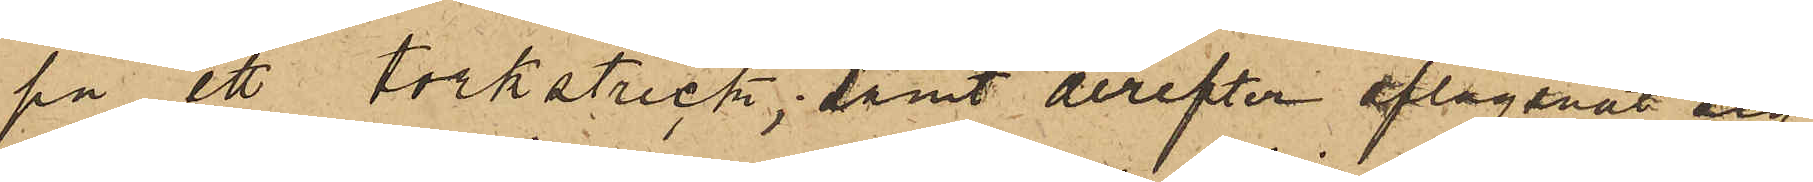på ett torkstreck; samt derefter aflägsnat sig.
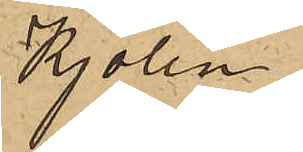Kjolen
